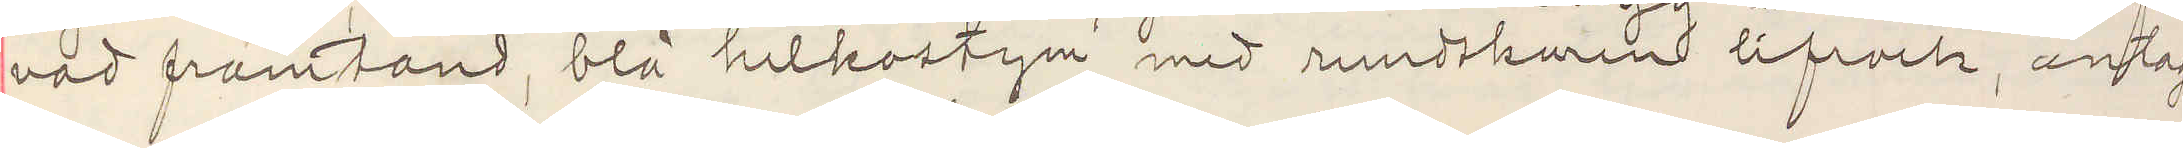vad framtand, blå helkostym med rundskuren lifrock, antag¬
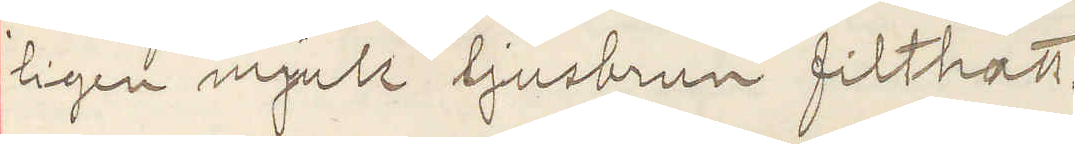ligen mjuk ljusbrun filthatt.
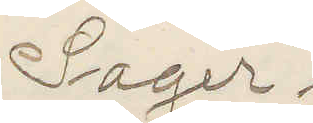Sager.
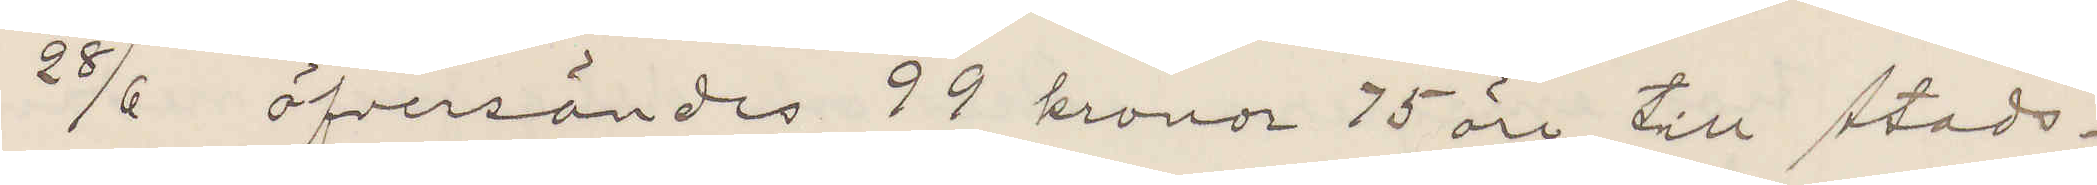28/6 öfversändes 99 kronor 75 öre till stads¬
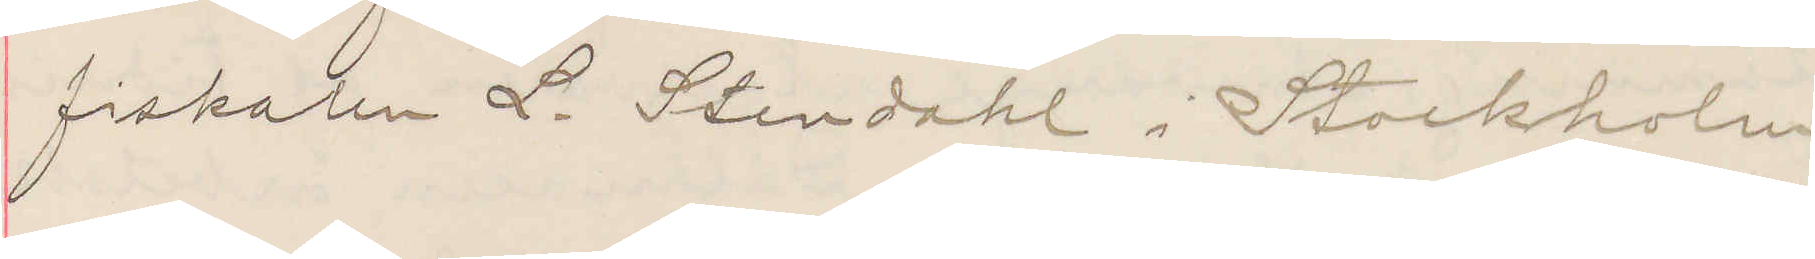fiskalen L. Stendahl i Stockholm.
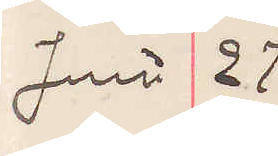Juni 27
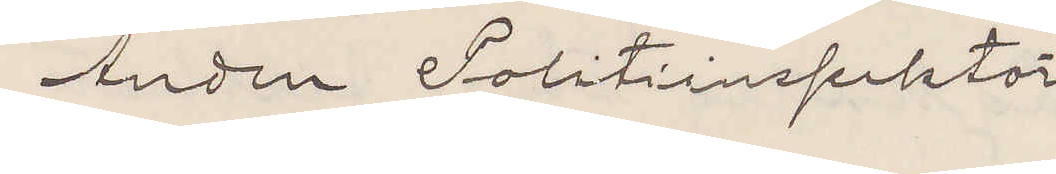Anden Politiinspektör.
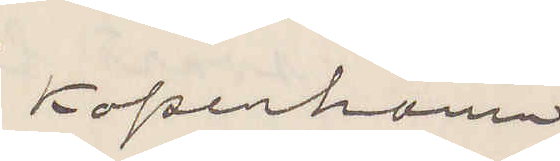Kopenhamn
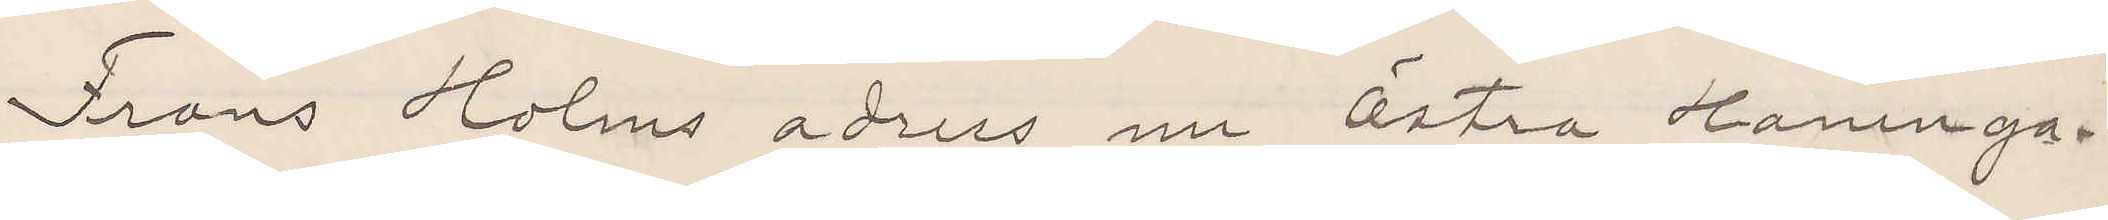Frans Holms adress nu Östra Hamnga¬
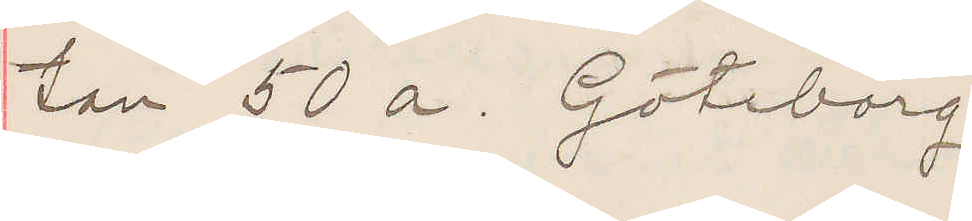tan 50 a. Göteborg
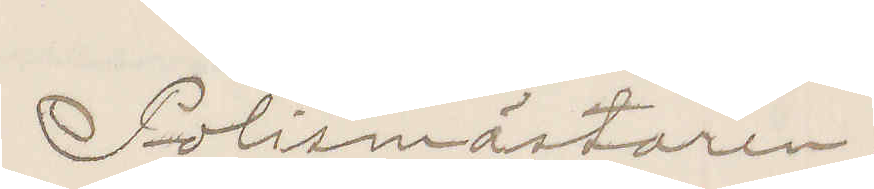Polismästaren.
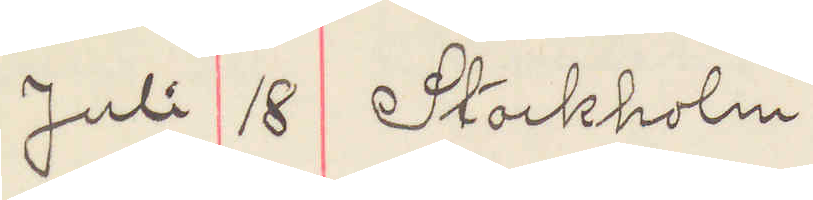Juli 18  Stockholm
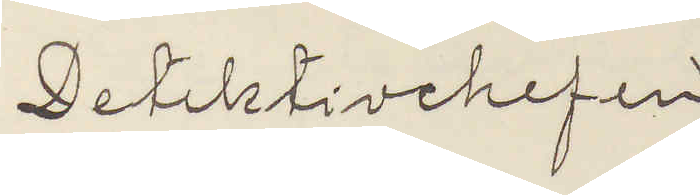Detektivchefen
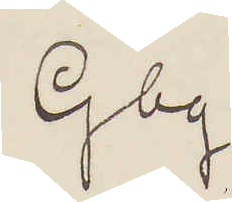Gbg
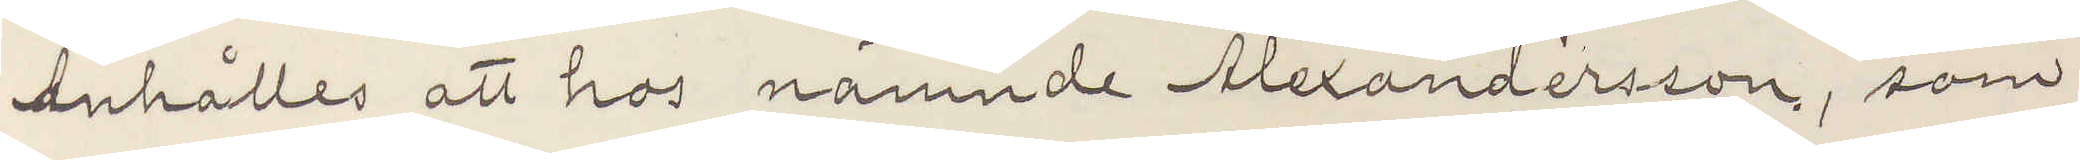Anhålles att hos nämnde Alexandersson, som
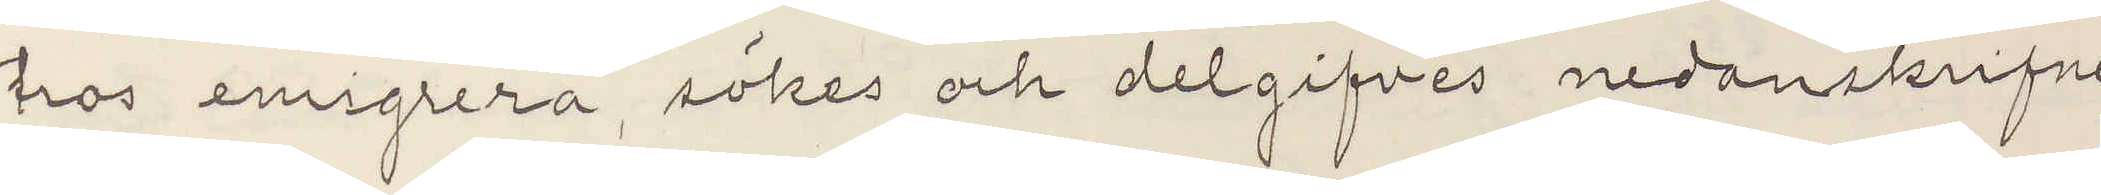tros emigrera, sökes och delgifves nedanskrifne
